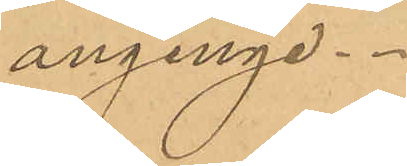anginge.
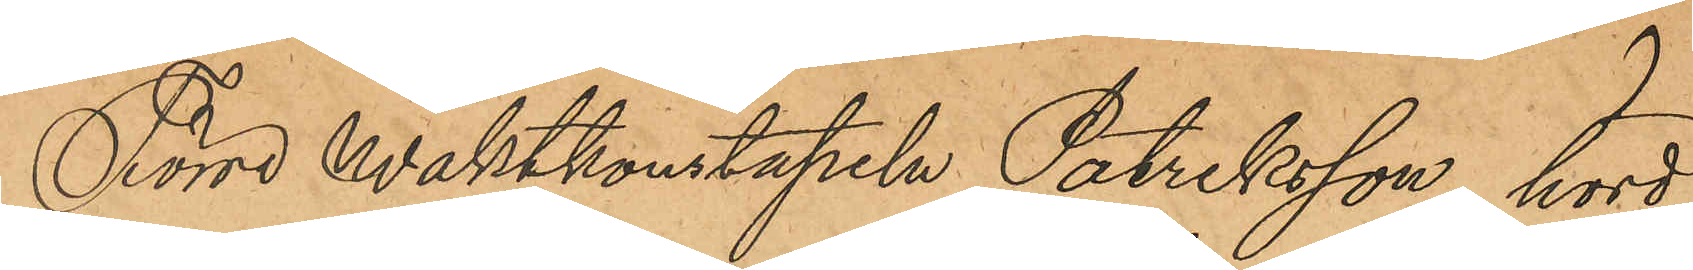Förre waktkonstapeln Patriksson, hörd,
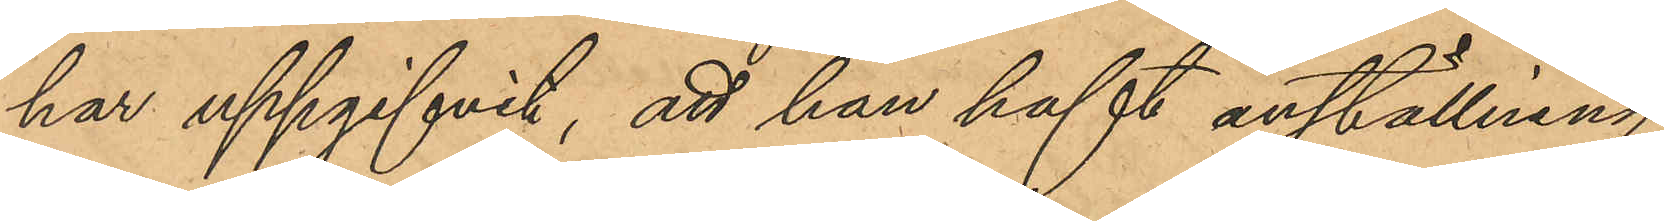har uppgifvit, att han haft anställning
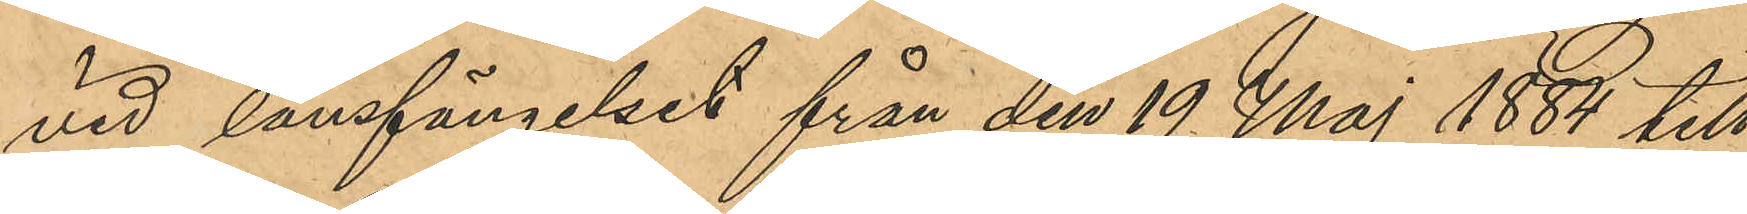vid länsfängelset från den 19 Maj 1884 till
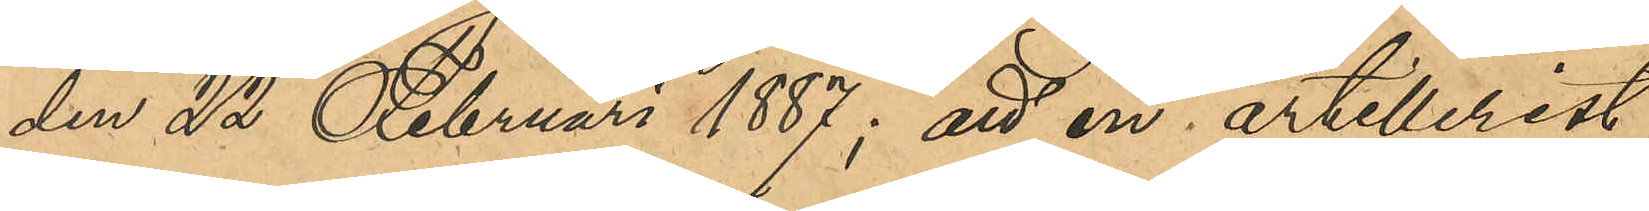den 22 Februari 1887; att en artillerist,
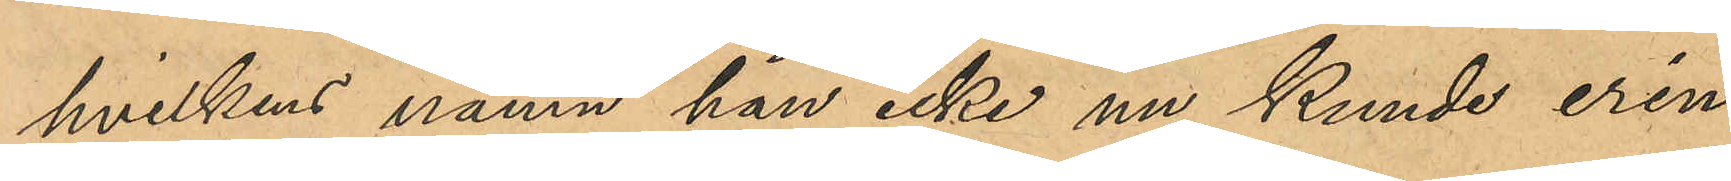hvilkens namn han icke nu kunde erin¬
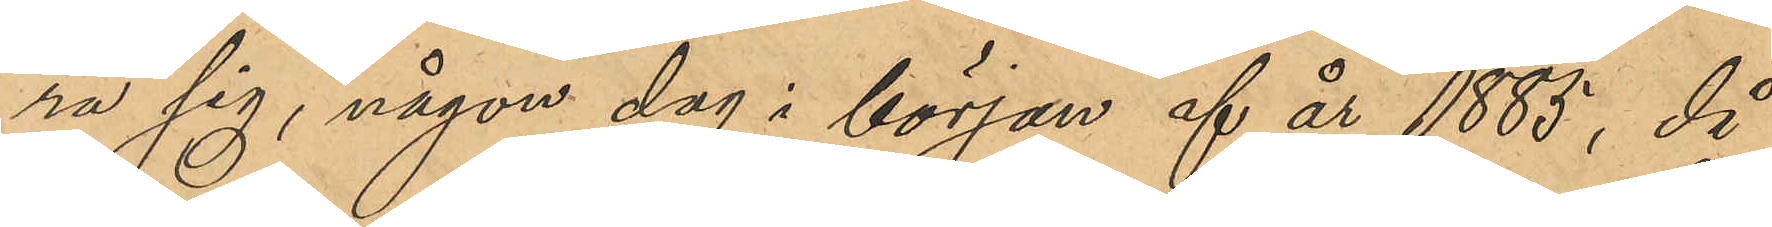ra sig, någon dag i början af år 1885, då
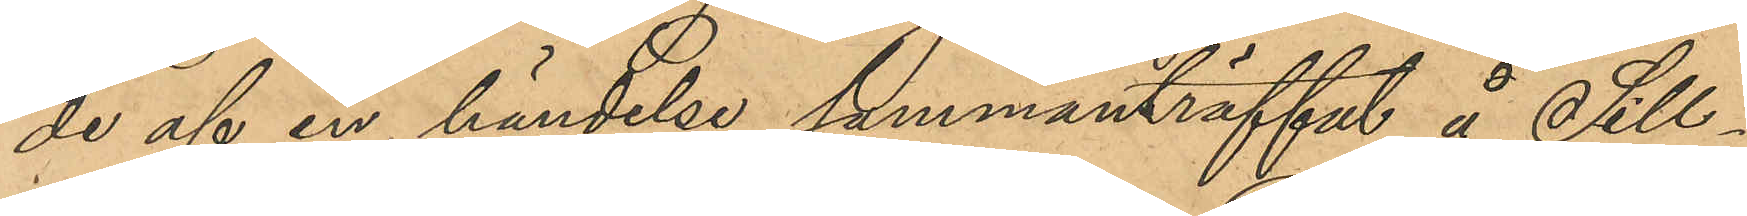de af en händelse sammanträffat å Sill¬
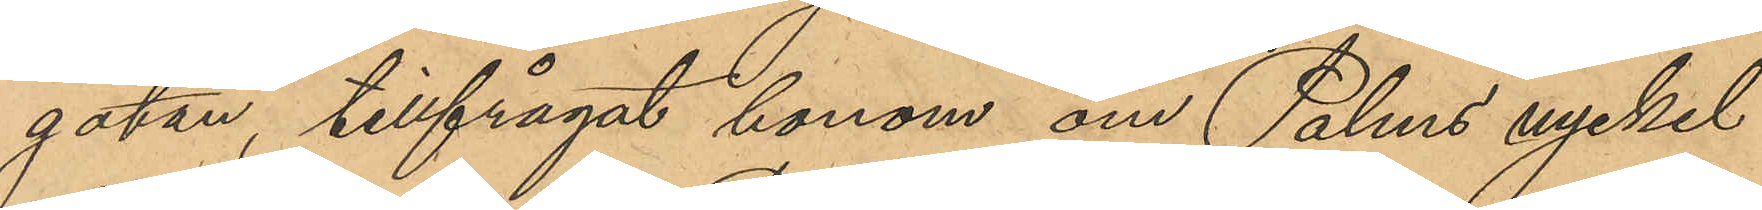gatan, tillfrågat honom om Palms nyckel
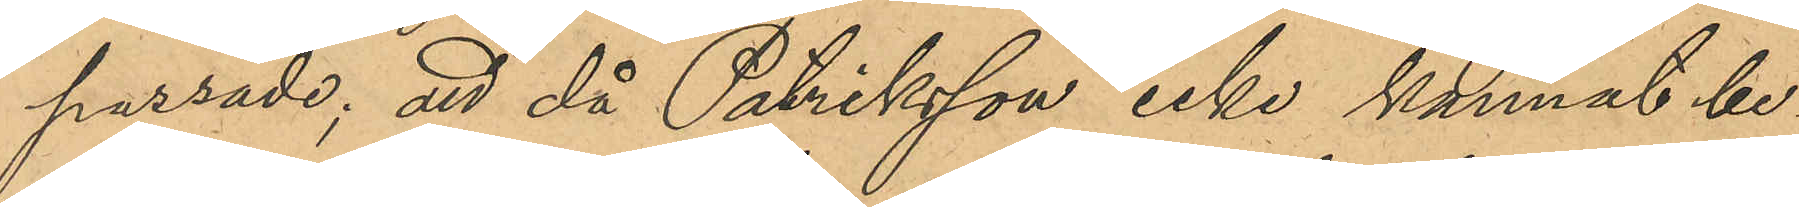passade; att då Patriksson icke kunnat be¬
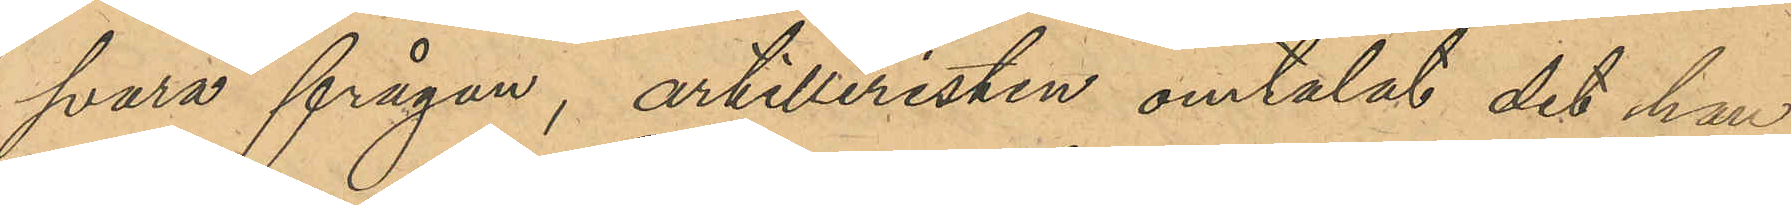svara frågan, artilleristen omtalat det han
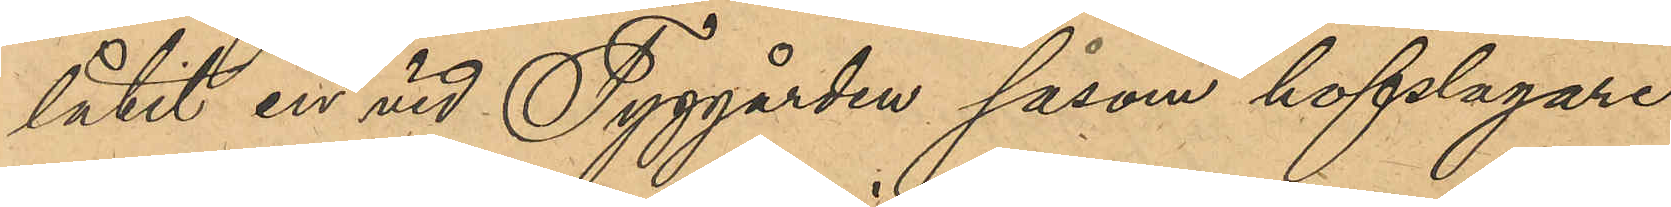låtit en vid Tyggården såsom hofslagare
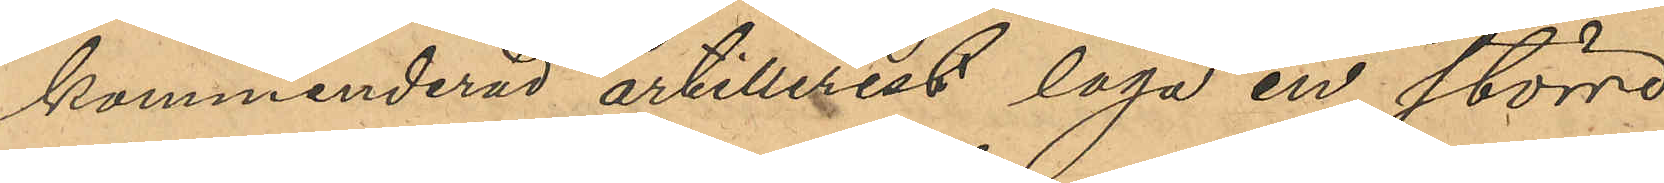kommenderad artillerist laga en större
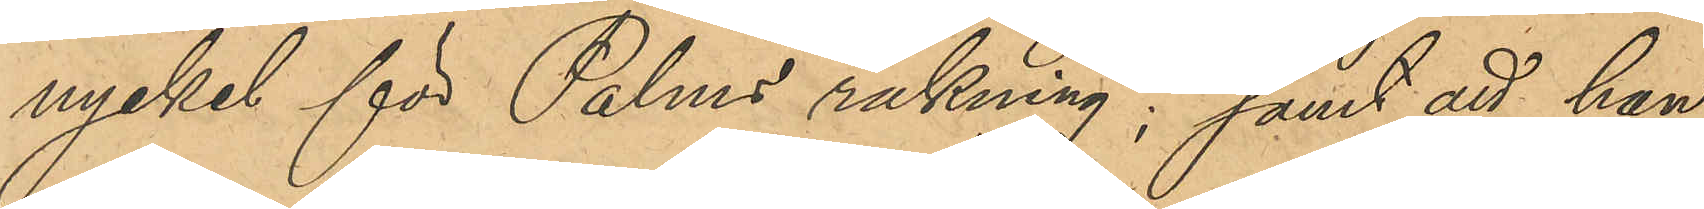nyckel för Palms räkning; samt att han
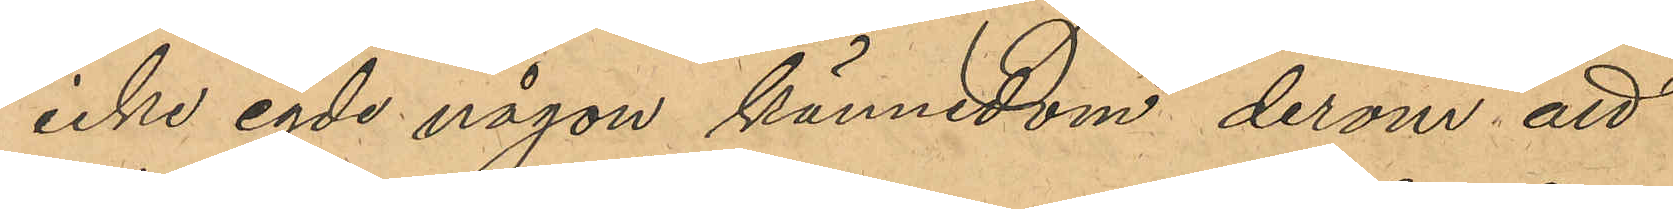icke egde någon kännedom derom att
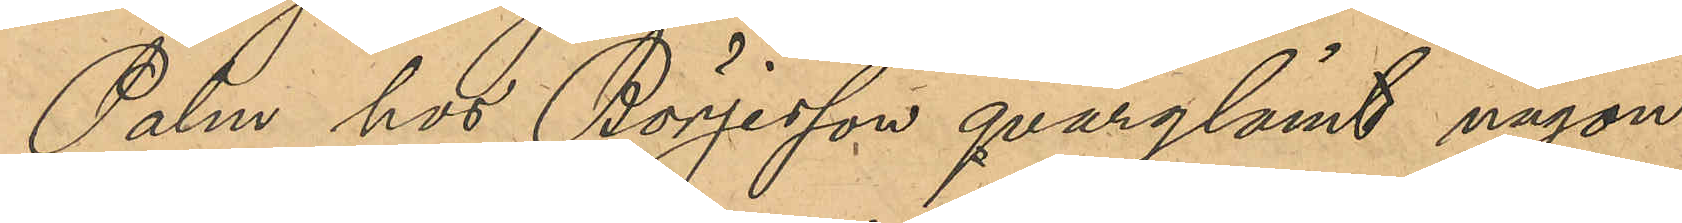Palm hos Börjesson qvarlemnat någon
